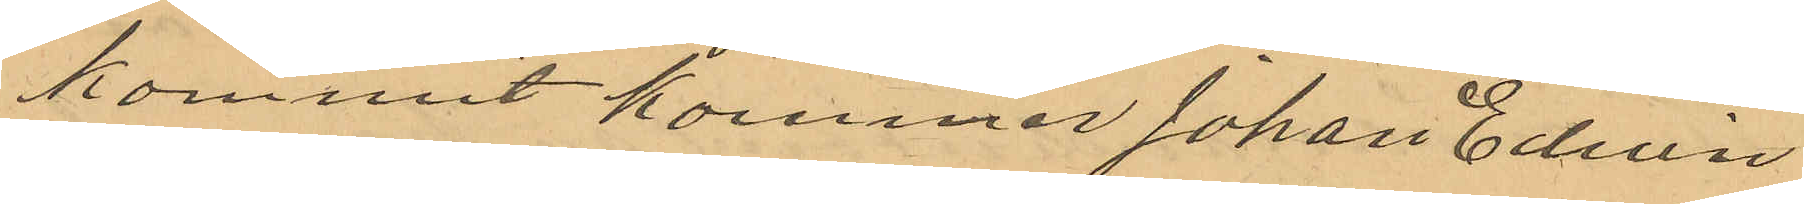kommit kommer Johan Edvin
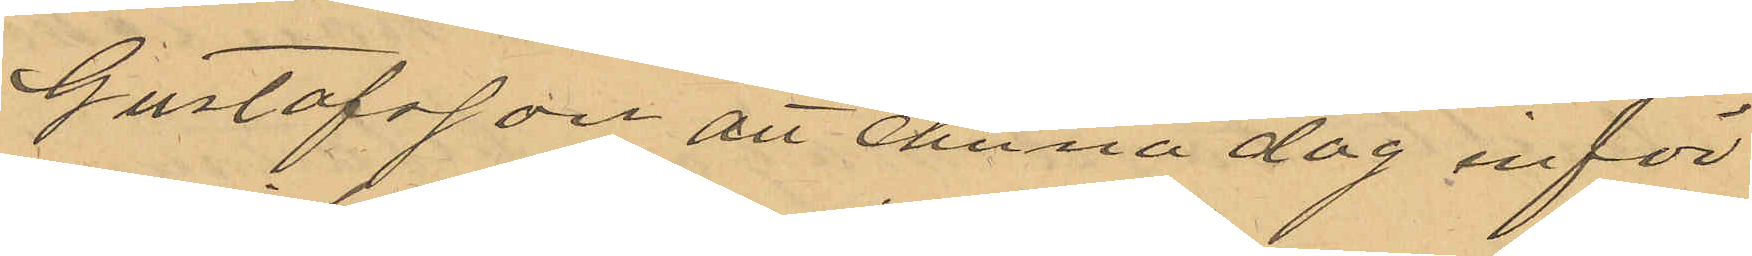Gustafsson att denna dag inför
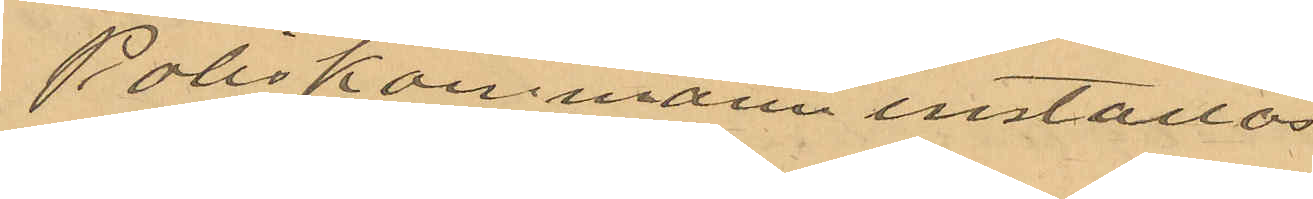Poliskammann inställas
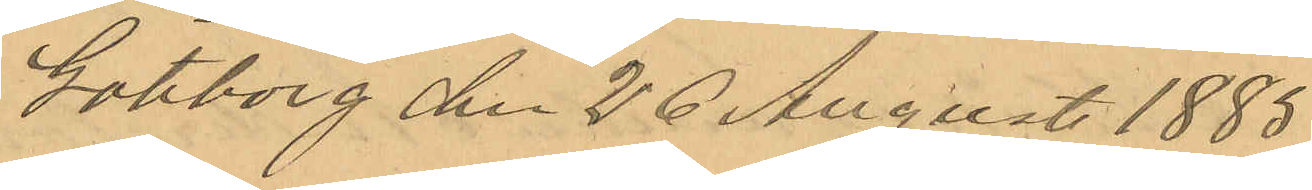Göteborg den 26 Augusti 1885.
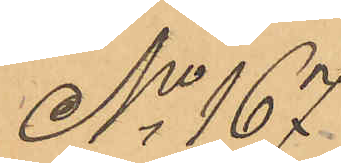No 167
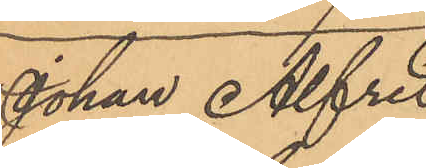Johan Alfred
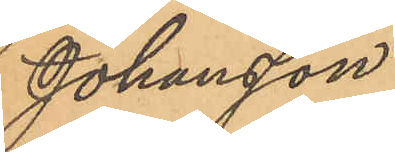Johansson
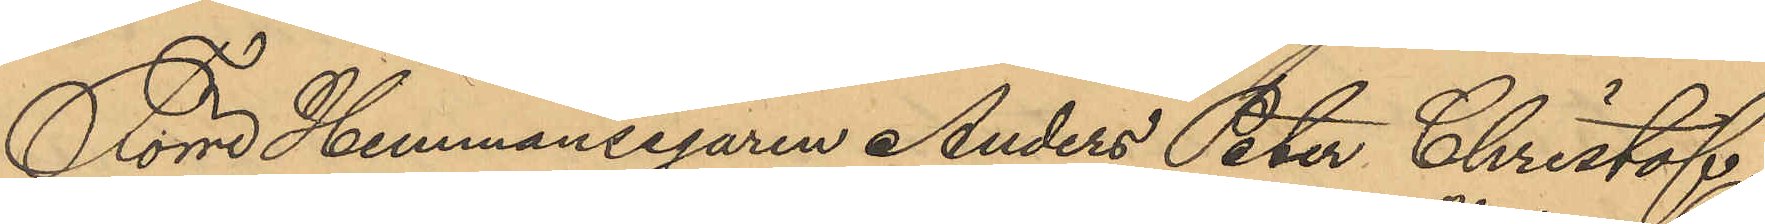Förre Hemmansegaren Anders Peter Christof¬
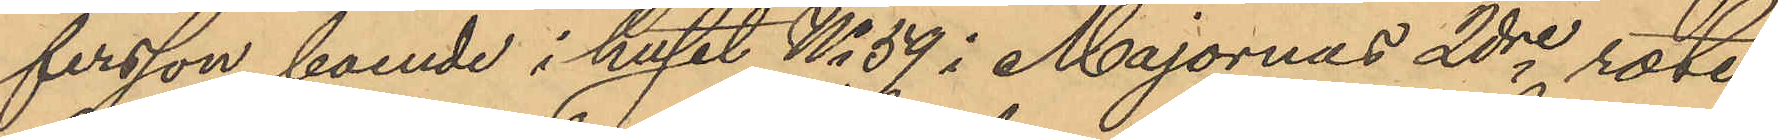fersson, boende i huset No 59 i Majornas 2dre rote,
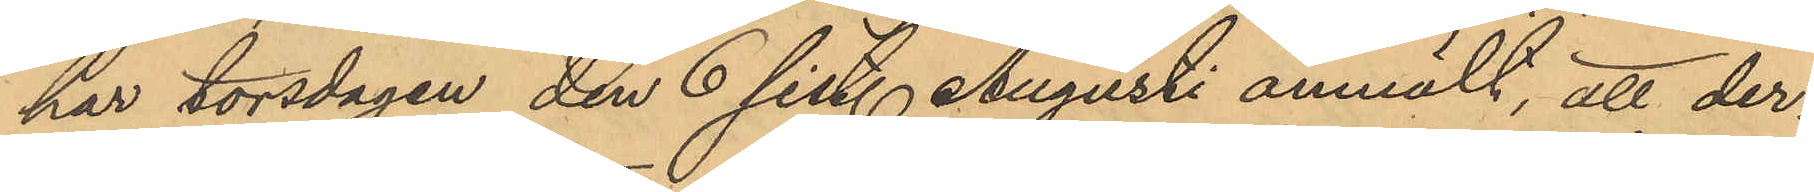har torsdagen den 6 sist. Augusti anmält, att der¬
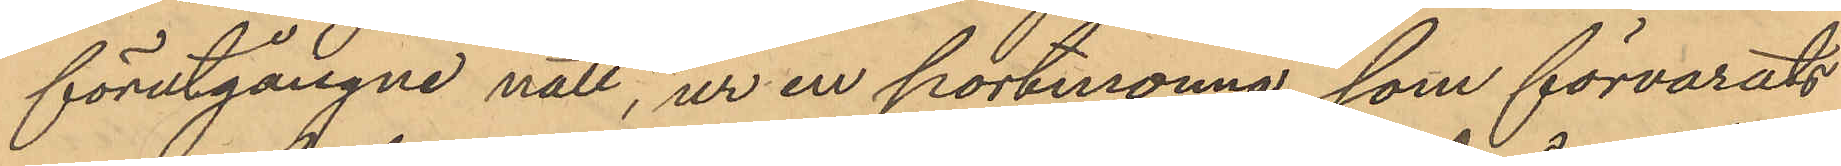förutgångne natt, ur en portmonnä, som förvarats
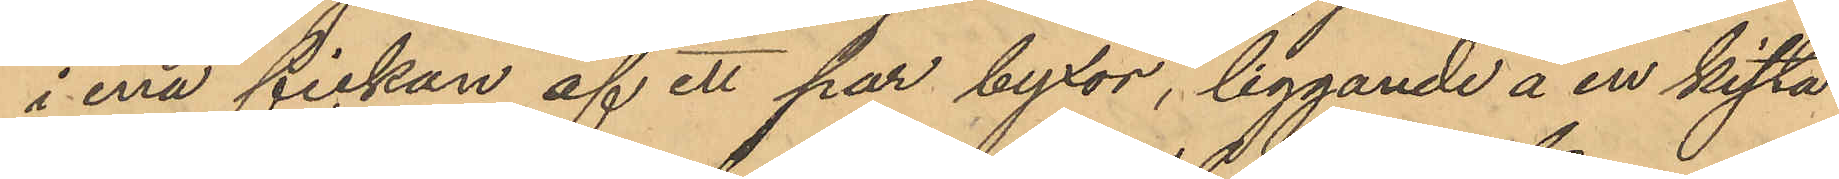i ena fickan af ett par byxor, liggande å en kista
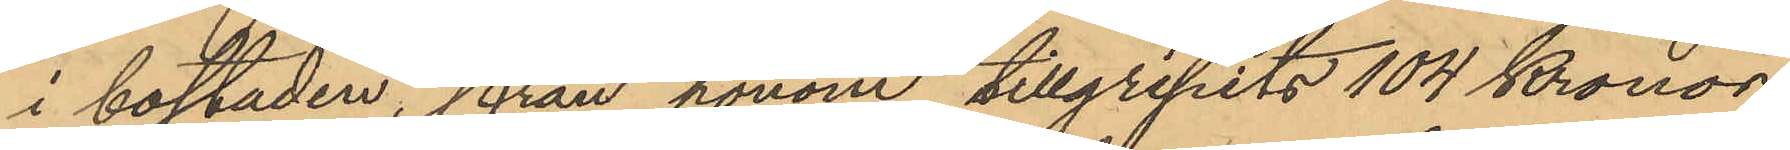i bostaden, från honom tillgripits 104 Kronor
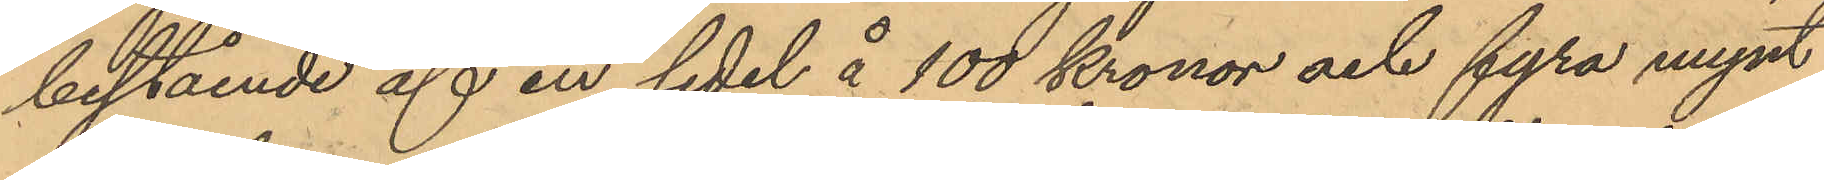bestående af en sedel å 100 Kronor och fyra mynt
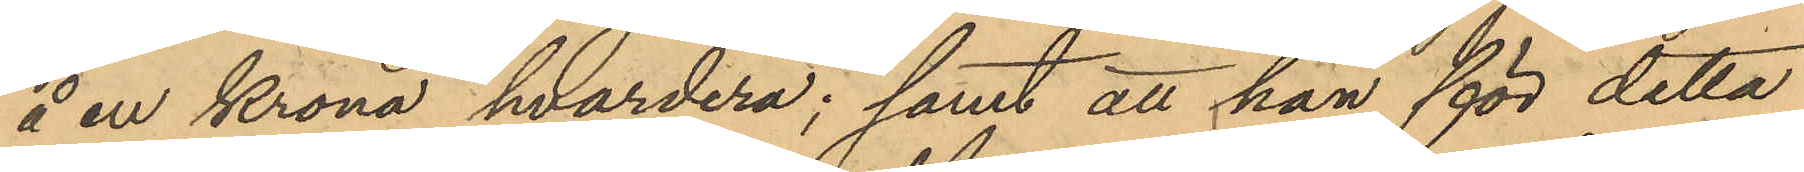å en krona hvardera; samt att han för detta
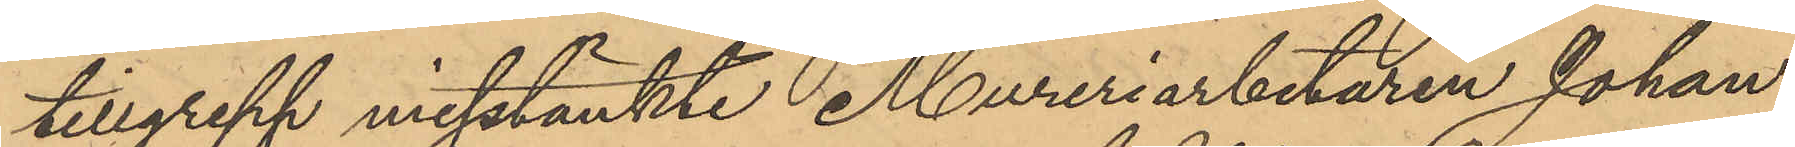tillgrepp misstänkte Mureriarbetaren Johan
